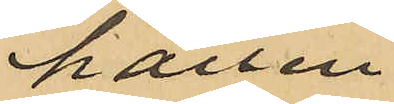hållen
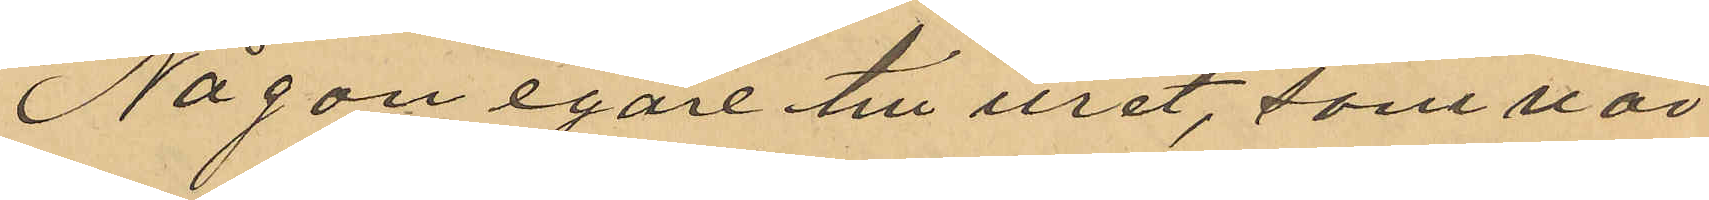Någon egare till uret, som vär¬
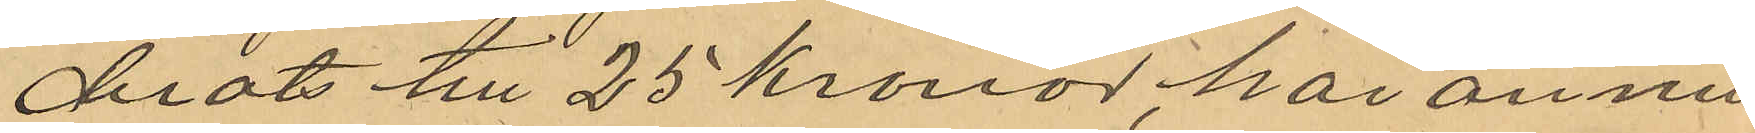derats till 25 kronor, har ännu
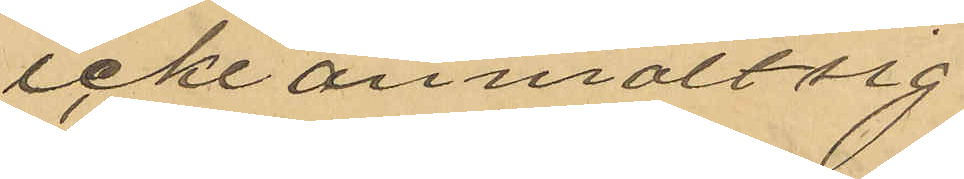icke anmält sig.
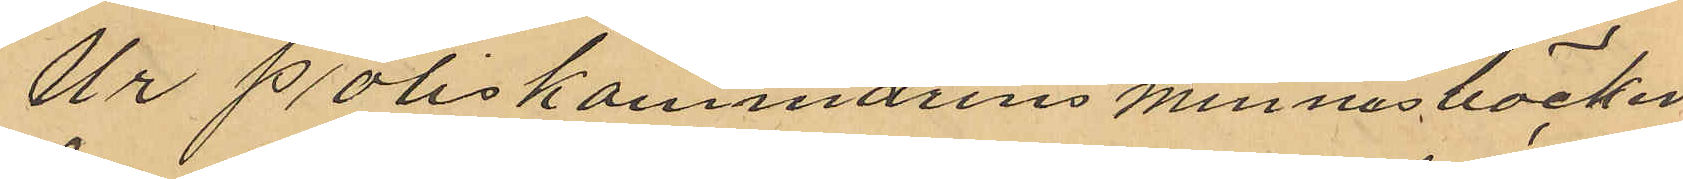Ur Poliskammarens minnesböcker
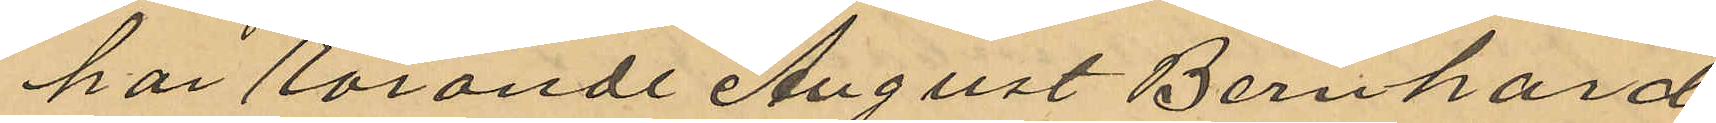har rörande August Bernhard
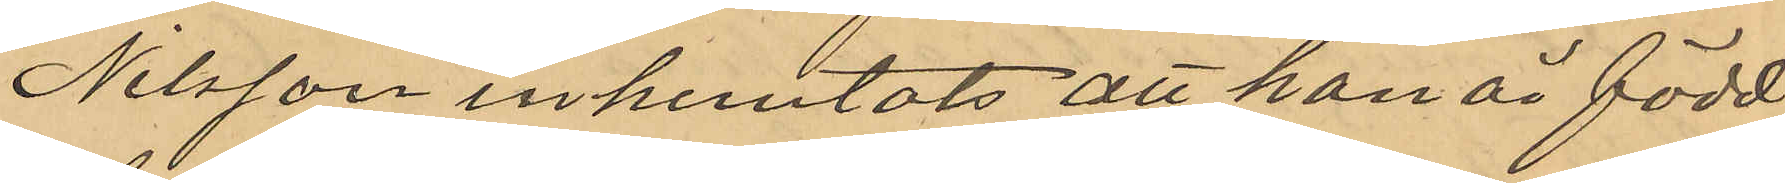Nilsson inhemtats att han är född
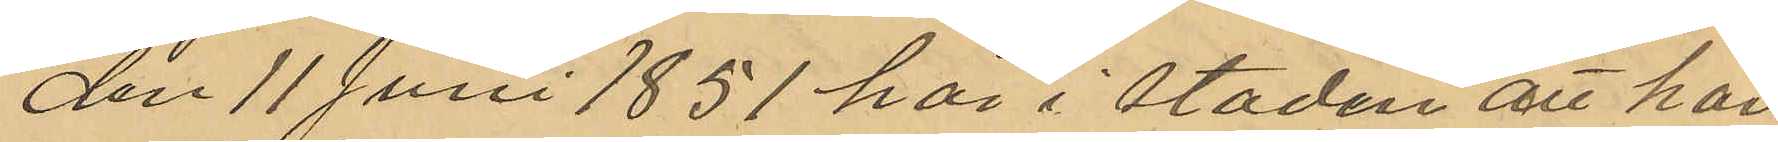den 11 Juni 1851 här i staden att han
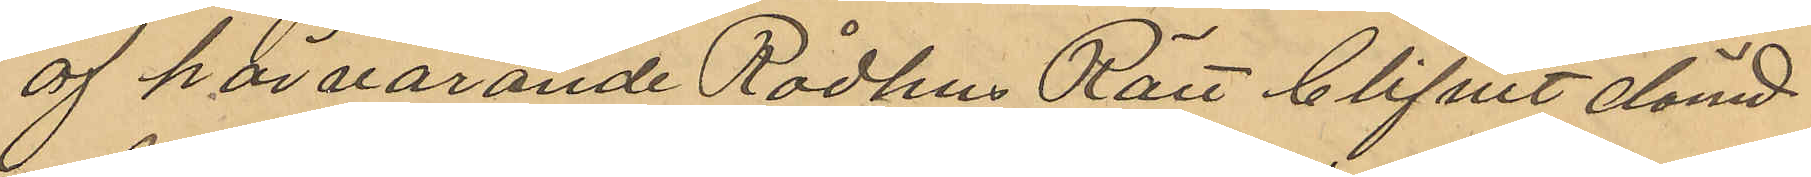af härvarande Rådhus Rätt blifvit dömd
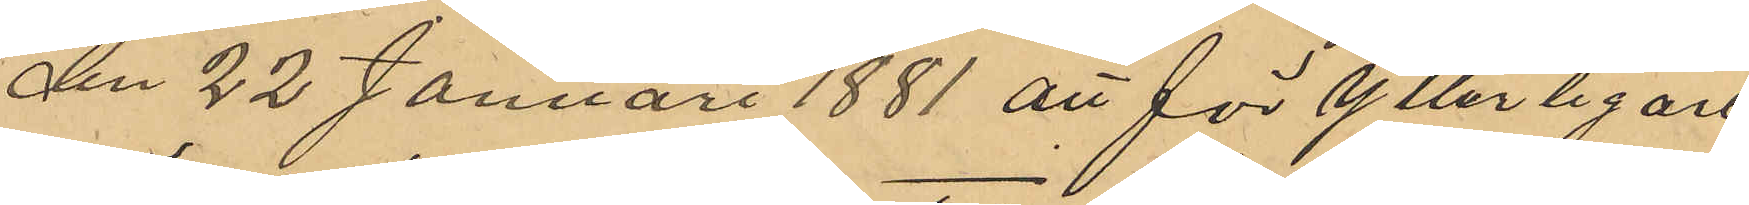den 22 Januari 1881 att för ytterligare
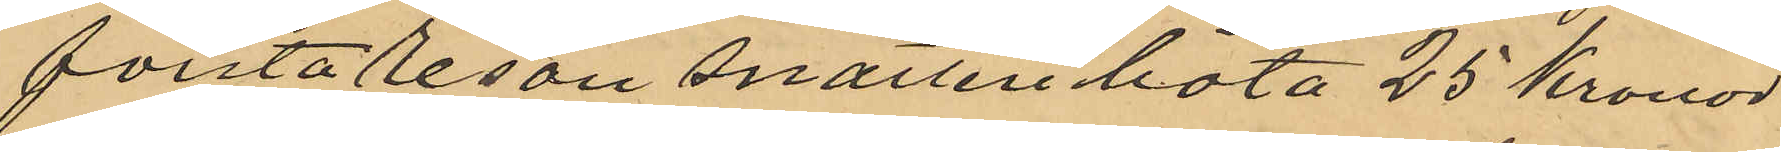första resan snatteri böta 25 kronor
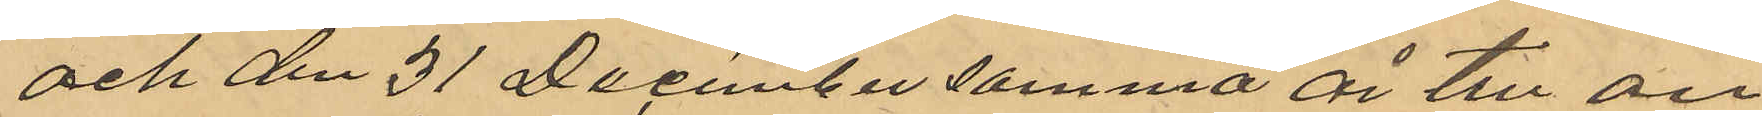och den 31 December samma år till an¬
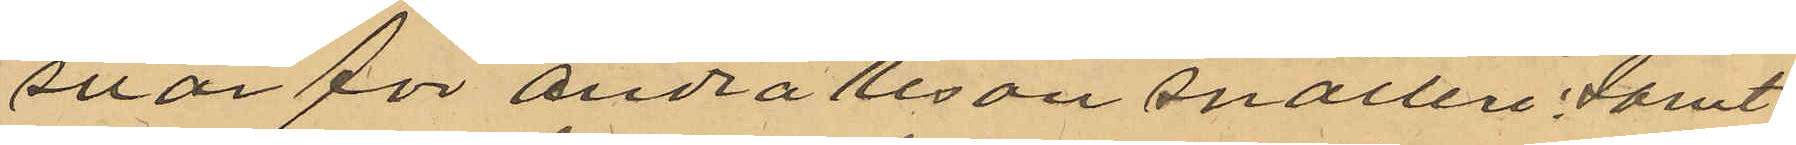svar för andra resan snatteri, samt
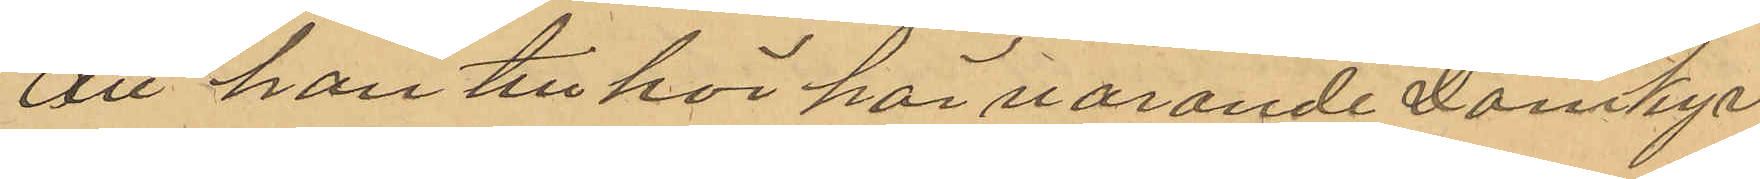att han tillhör härvarande Domkyr¬
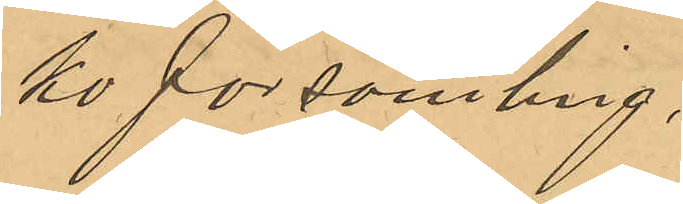ko församling.
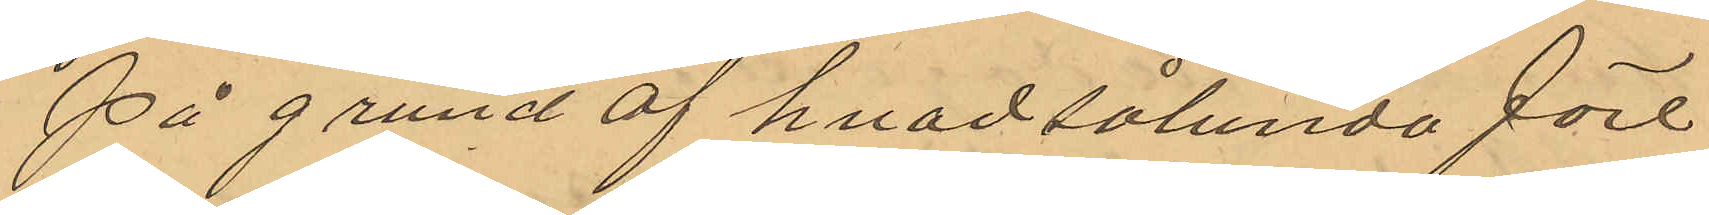På grund af hvad sålunda före¬
